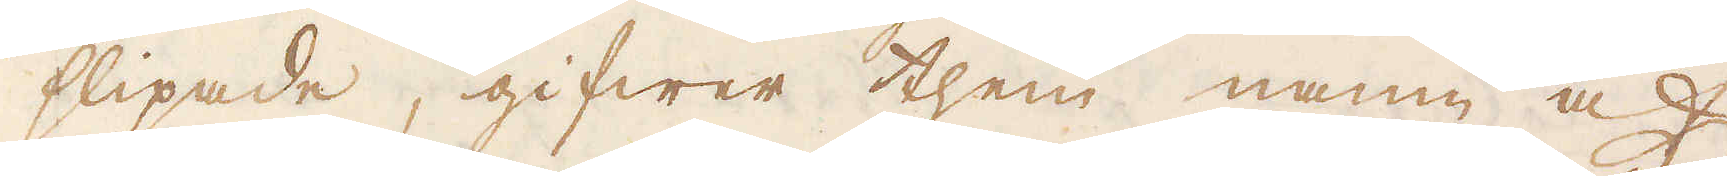slipade, gifwer them namn af
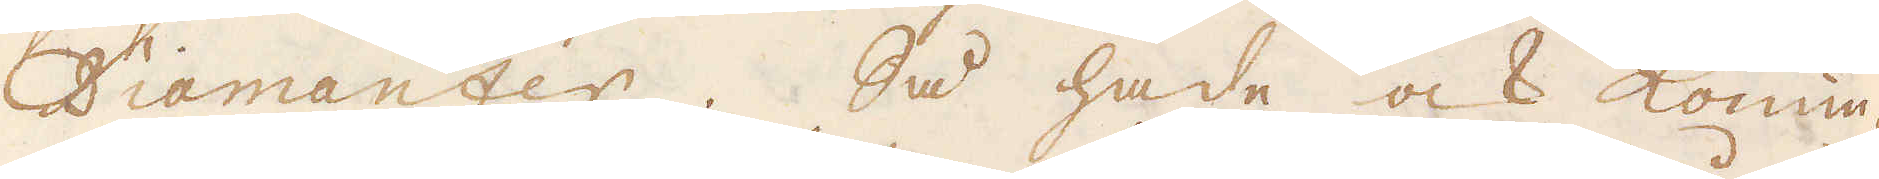Diamanter. Så hade ock Konun-
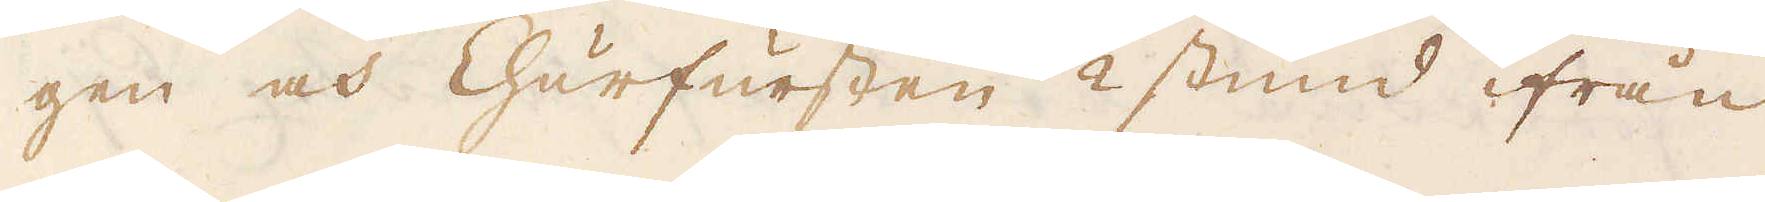gen och Churfursten 1/2 stund ifrån
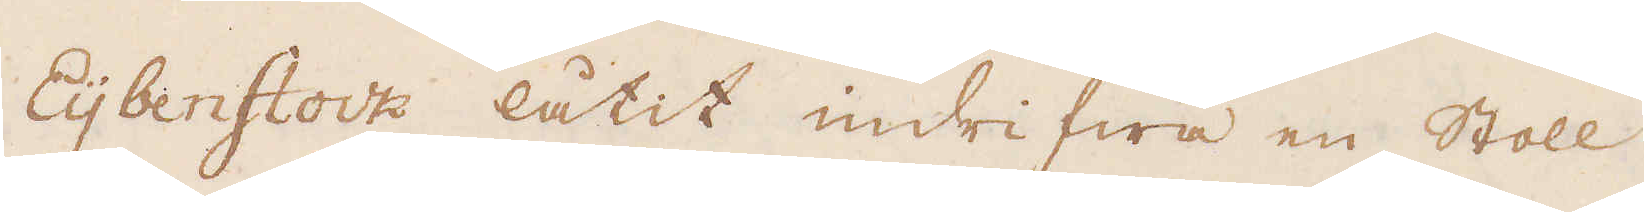Eijbenstock låtit indrifwa en Stoll
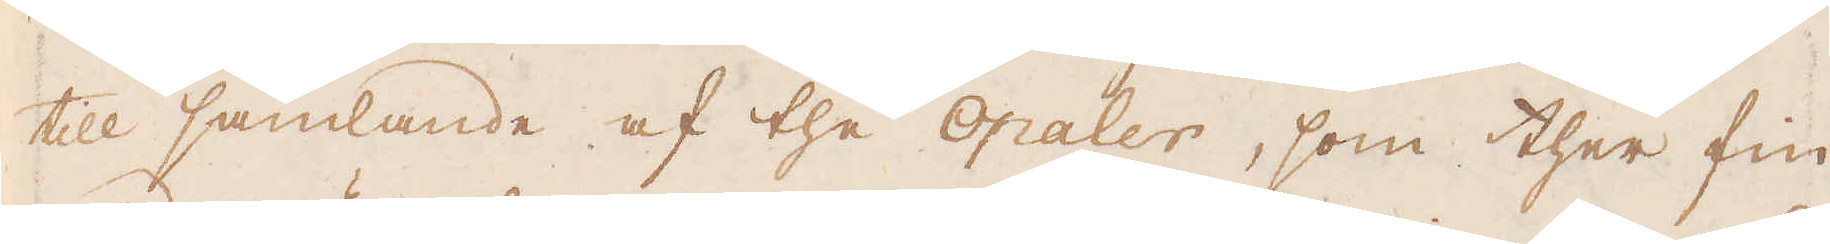till samlande af the Opaler, som ther fin-
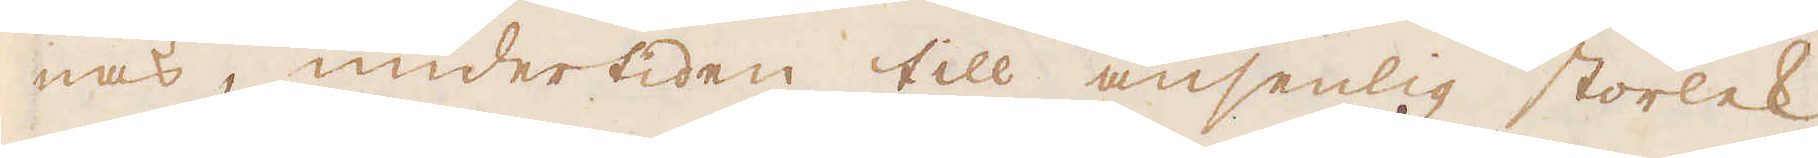nas, undertiden till ansenlig storlek.
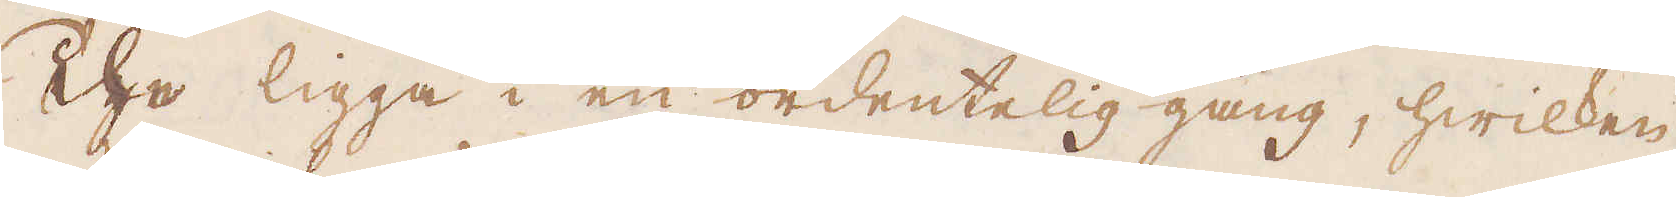The ligga i en ordentelig gång, hwilken
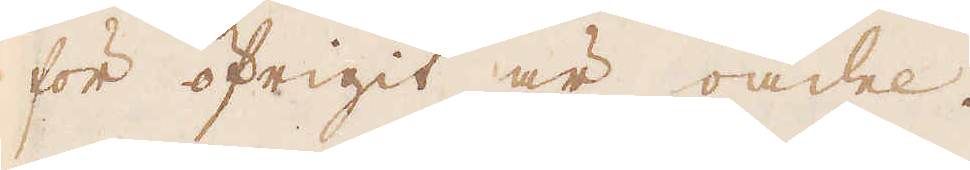för öfrigit är oädel.
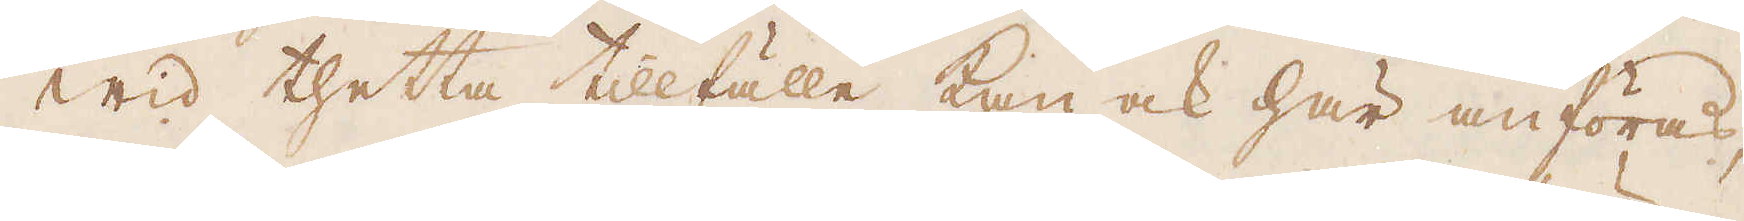Wid thetta tillfälle kan ock här anföras,
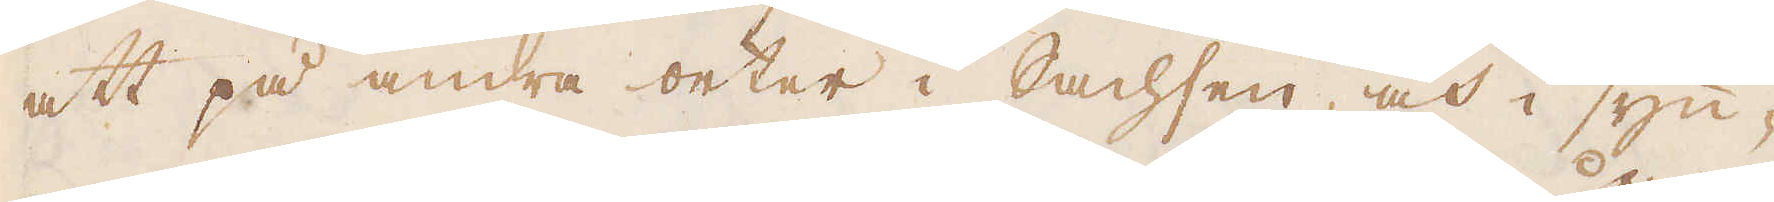att på andra orter i Sachsen, och i syn-
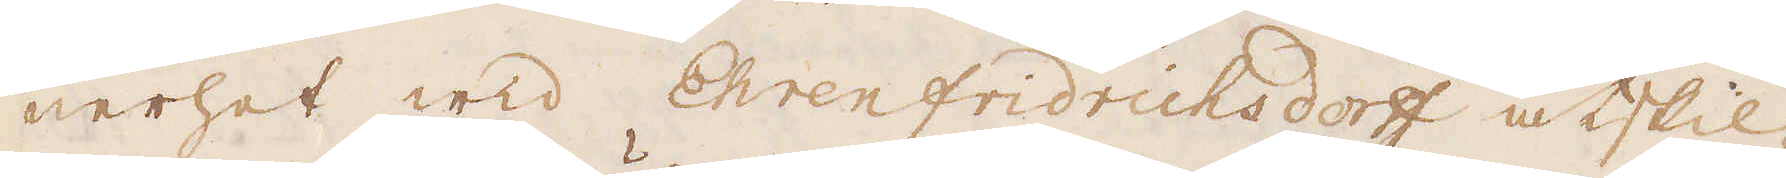nerhet wid Ehrenfridrichsdorff åtskil-
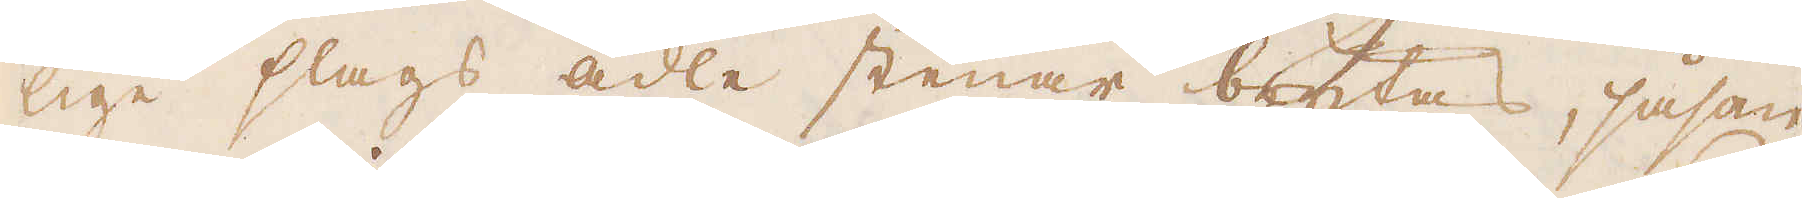lige slags ädle stenar brytas, såsom
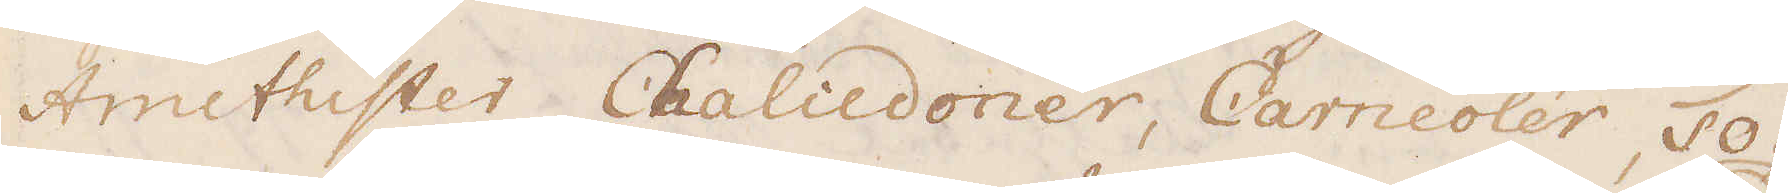Amethister, Chaliedoner, Carneoler, To-
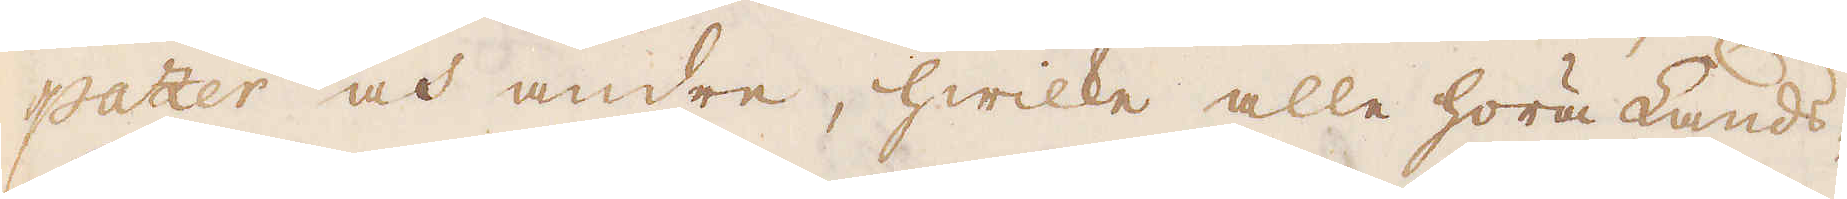pazer och andre, hwilke alle höra Lands-
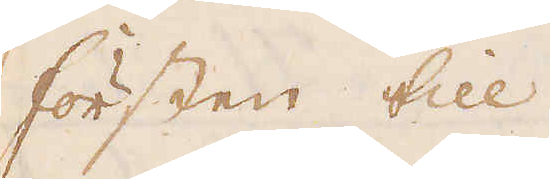försten till.
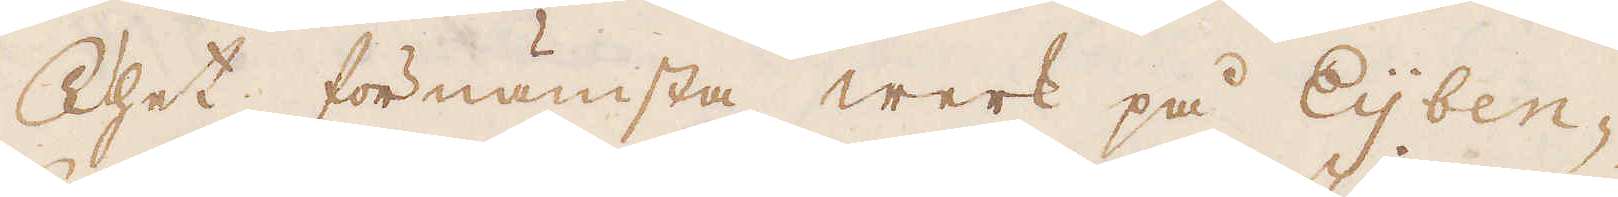Thet förnämsta werk på Eijben-
